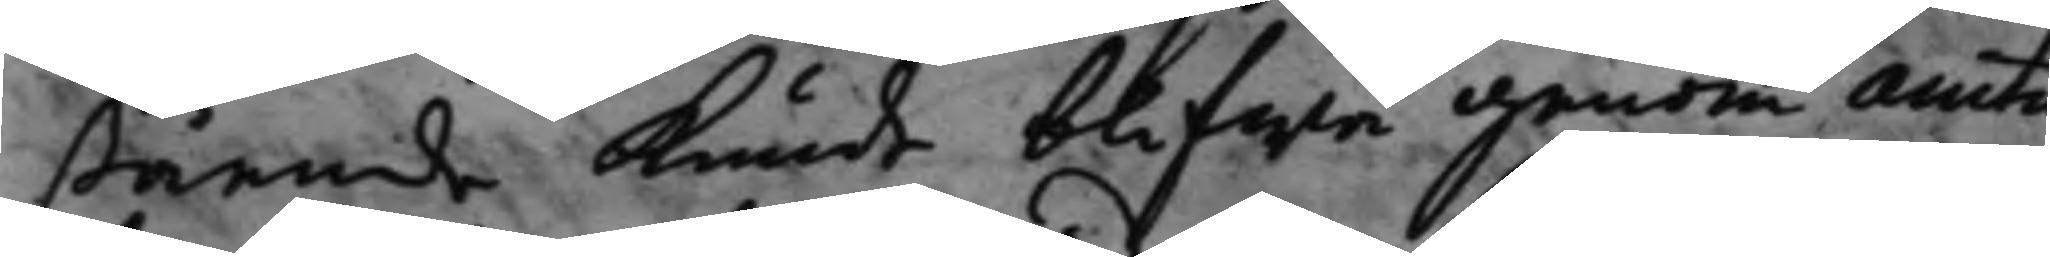stående kunde blifwa genom aucti
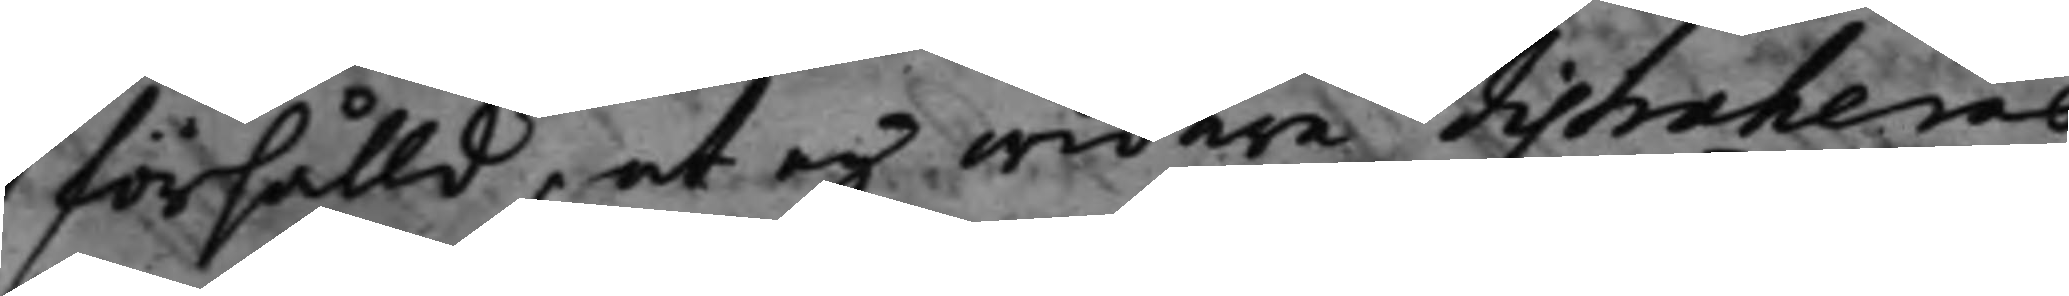försålld, at eij widare distraheras
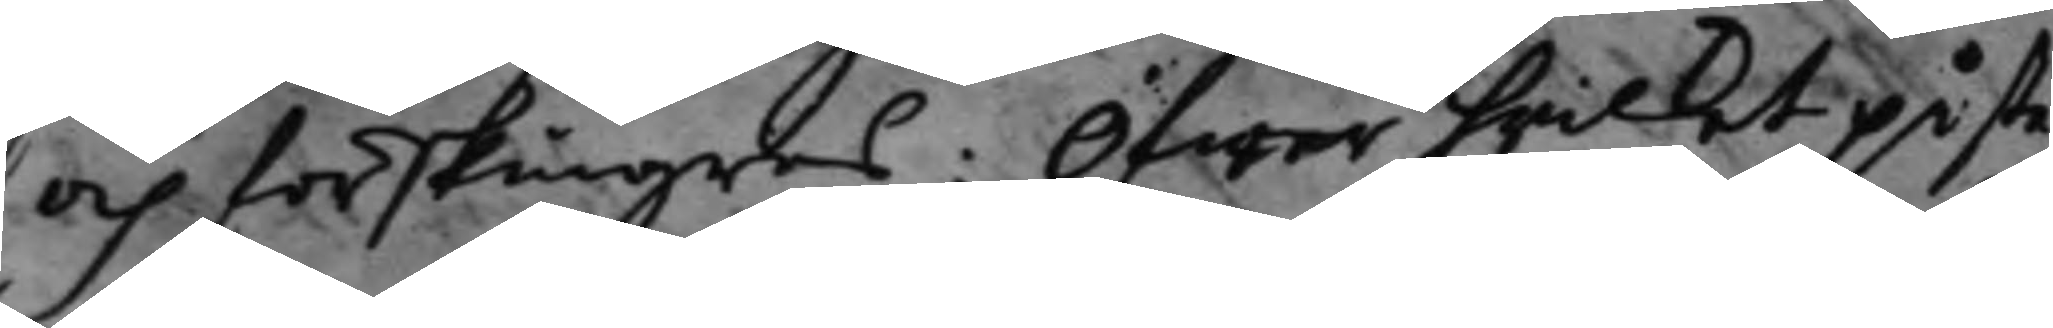och förskingras: Öfwer hwilket påstå¬
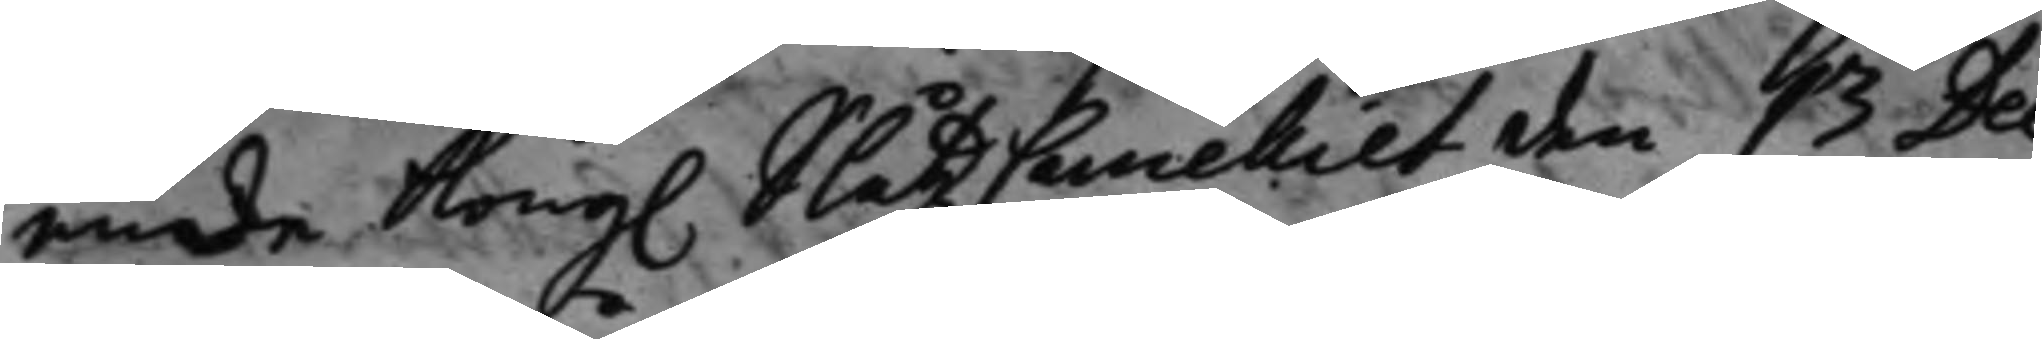ende Kong. SlåtzCancelliet den 13 Dec
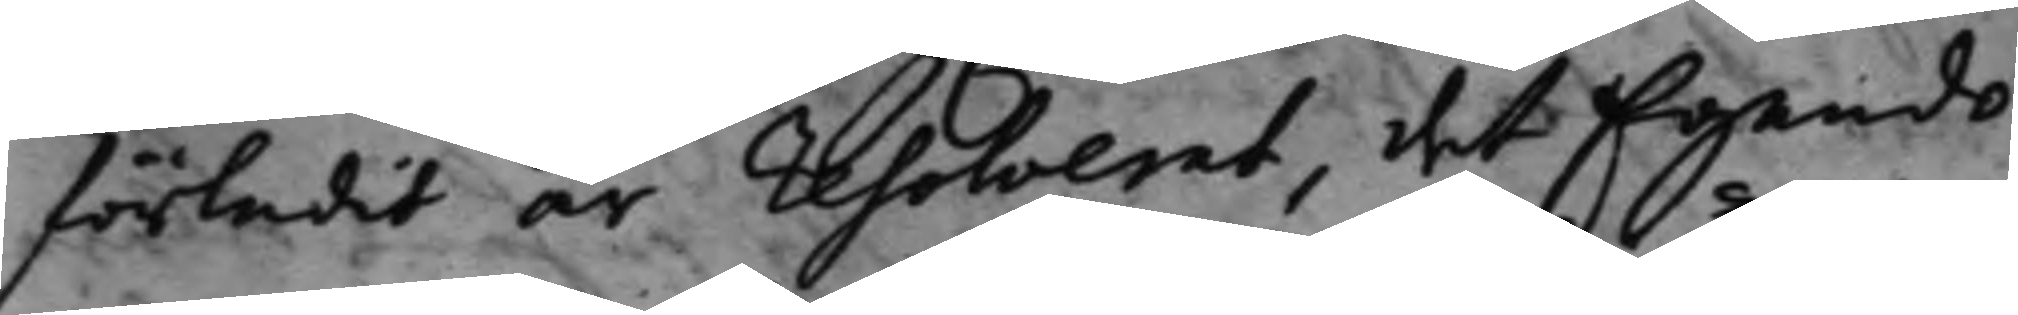förledit år resolverat, det Egendo¬
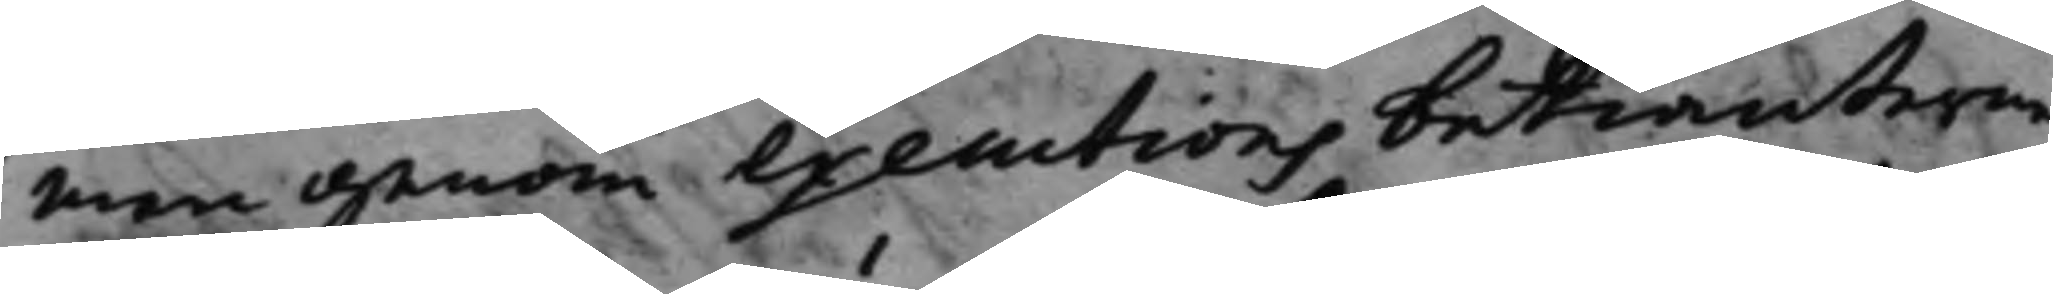men genom executions betiänterne
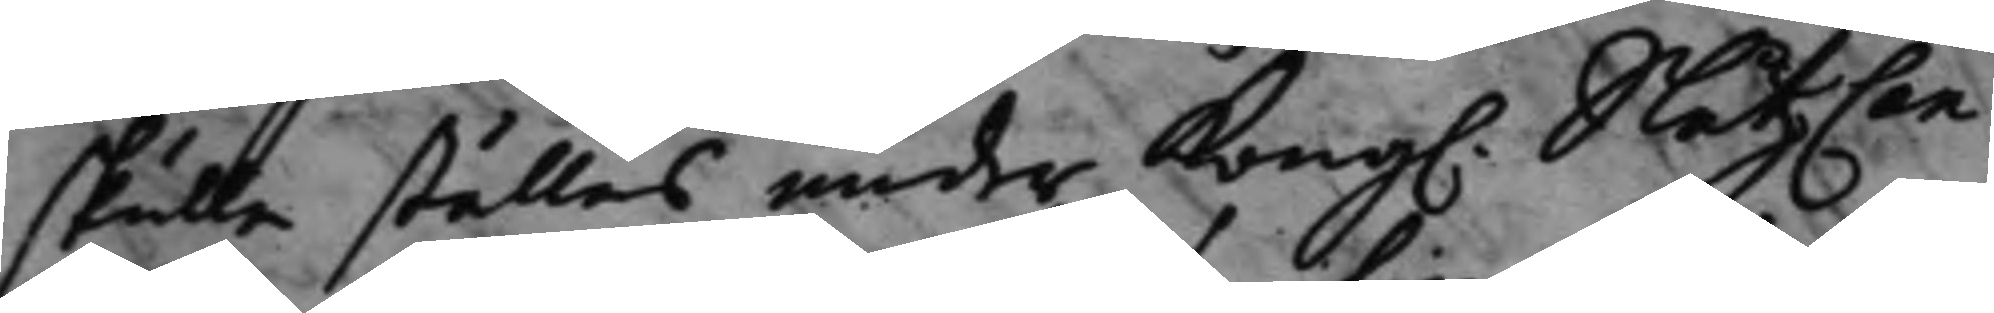skulle ställes under Kong. SlåtzCan¬
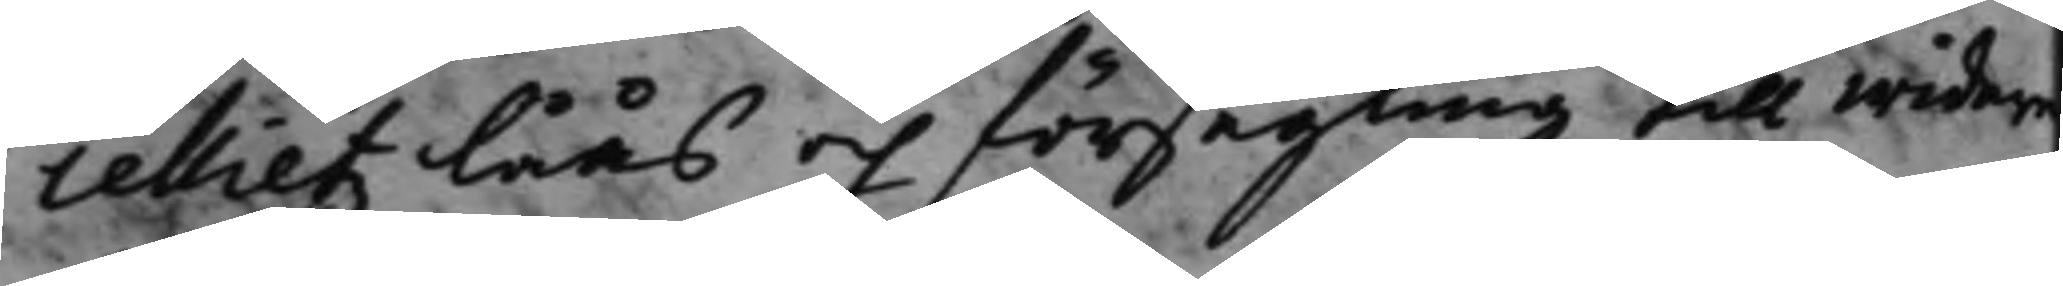cellietz låås och försegling till widare
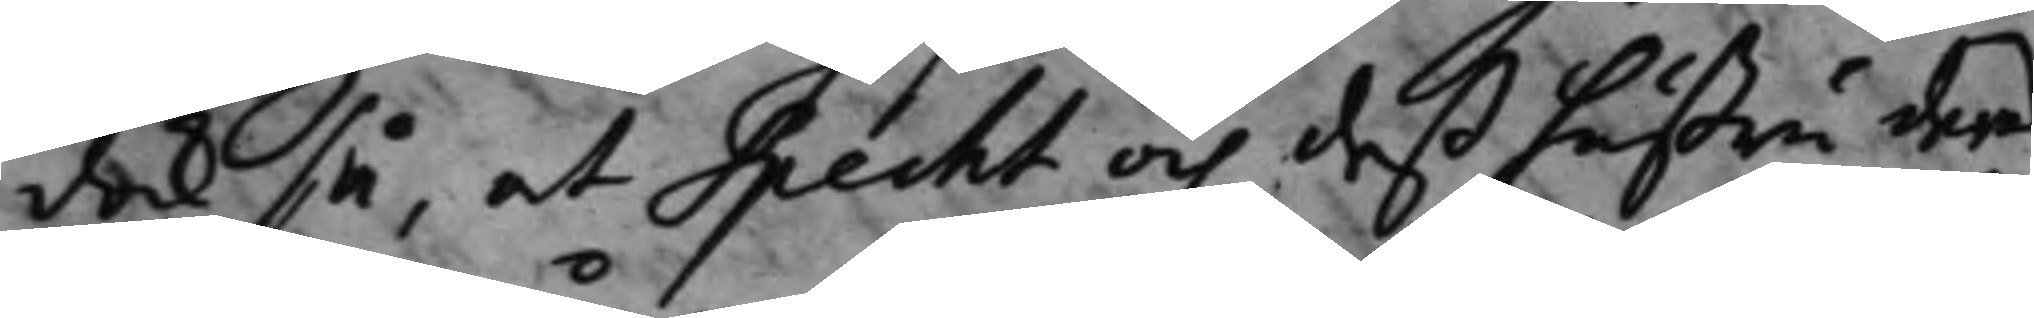dock så, at Specht och deß hustru deras
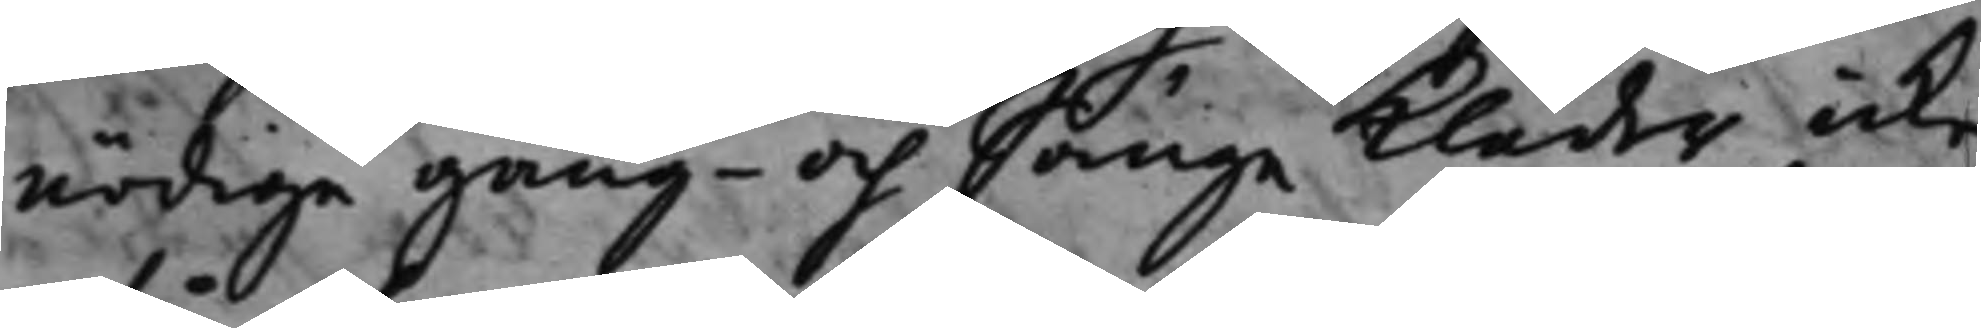nödiga gång- och sänge kläder icke
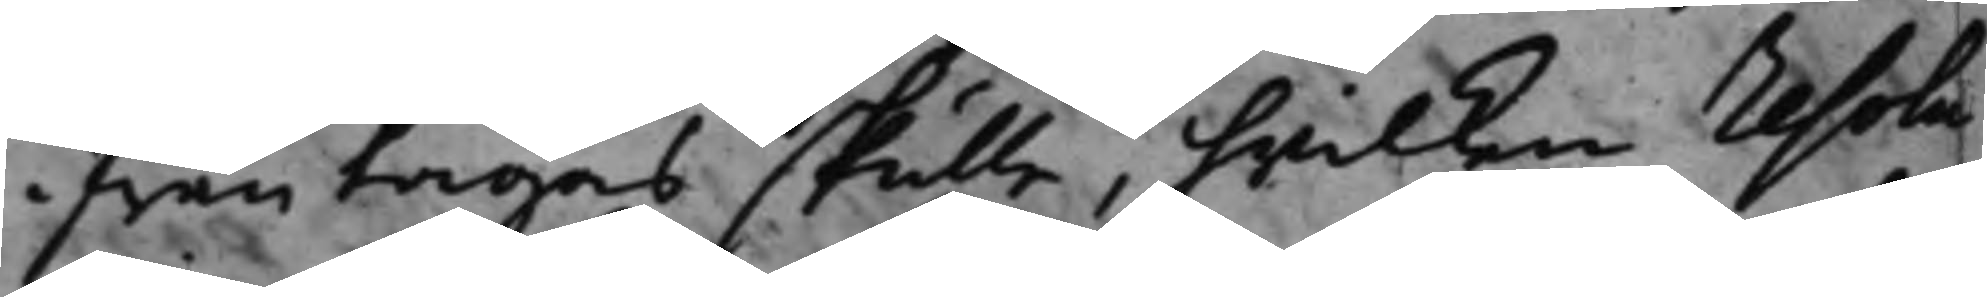ifråntagas skulle, hvilken resolu¬
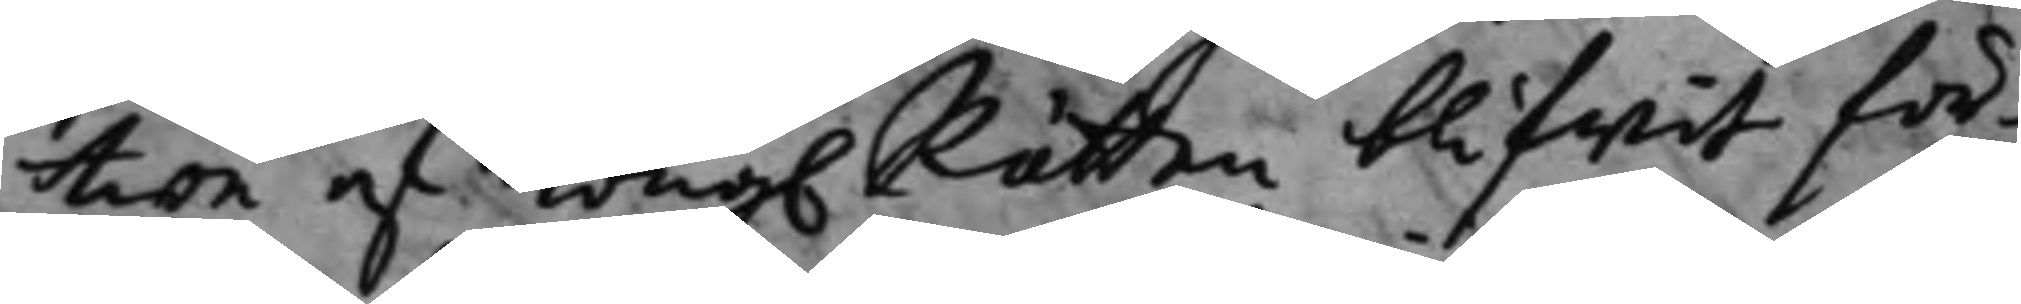tion af Kong. Rätten blifwit för¬
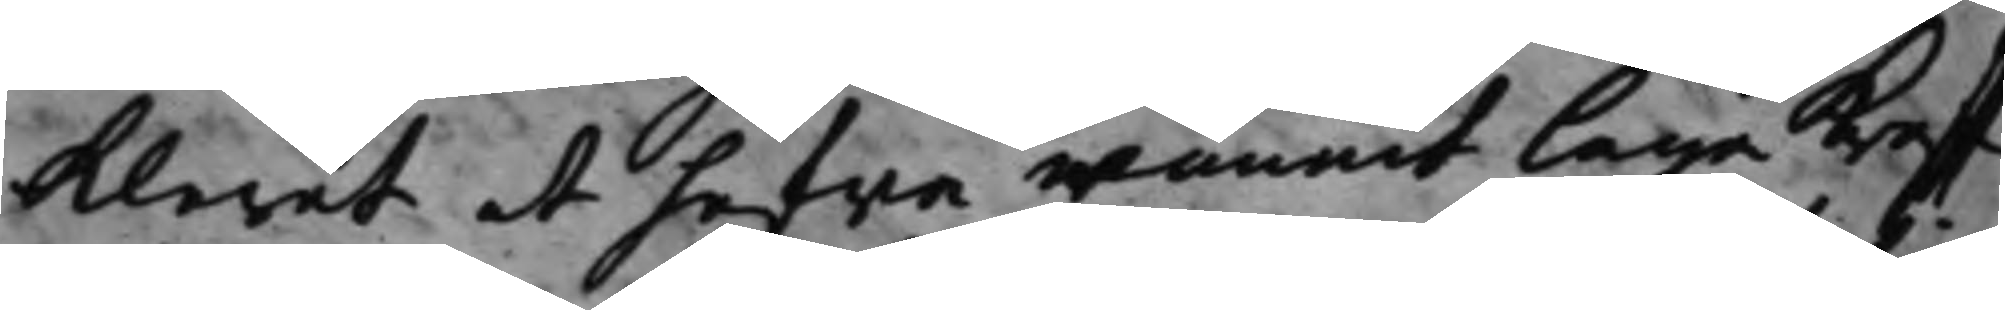klarat att hafwa wunnit laga krafft
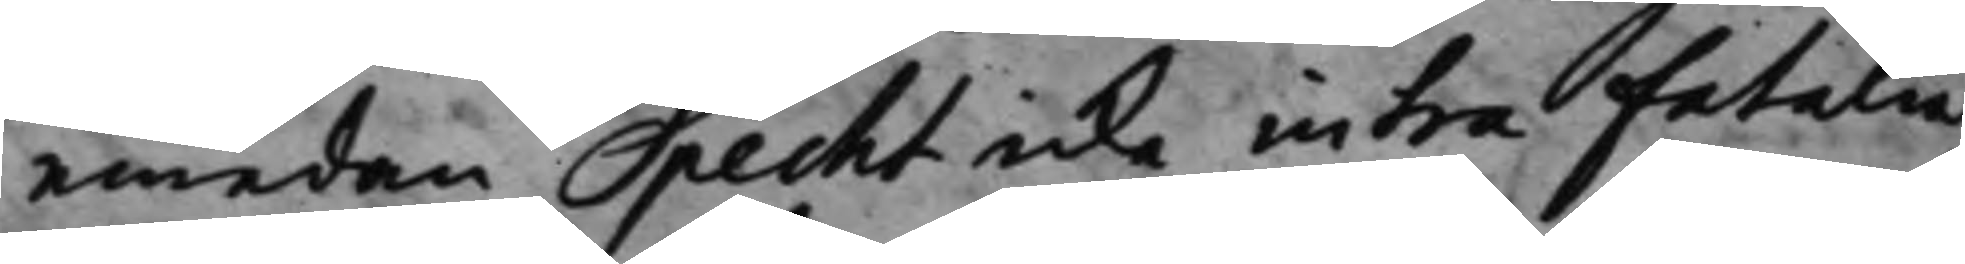emedan Specht icke intra fatalia
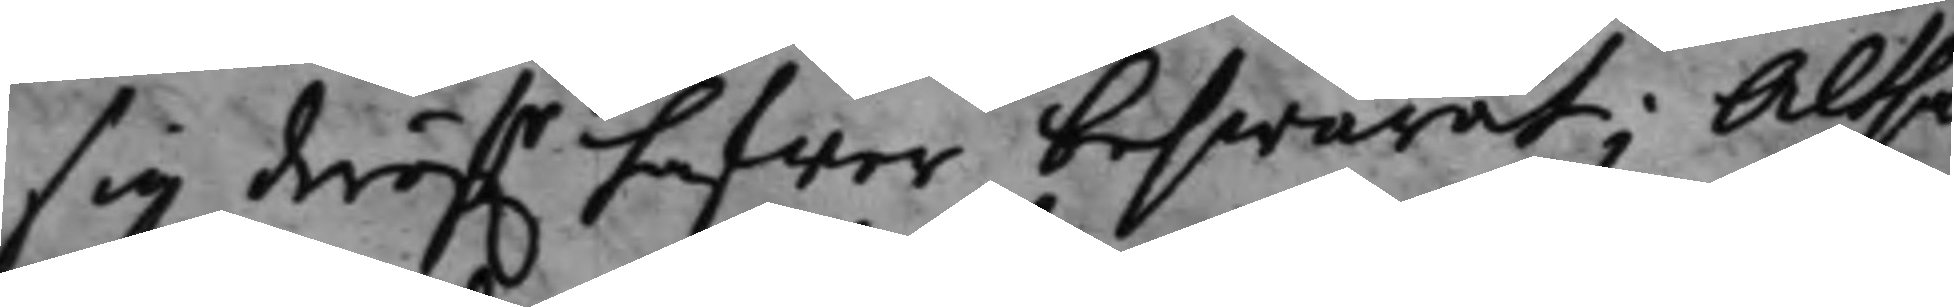sig deröf.r hafwer beswärat; Altså
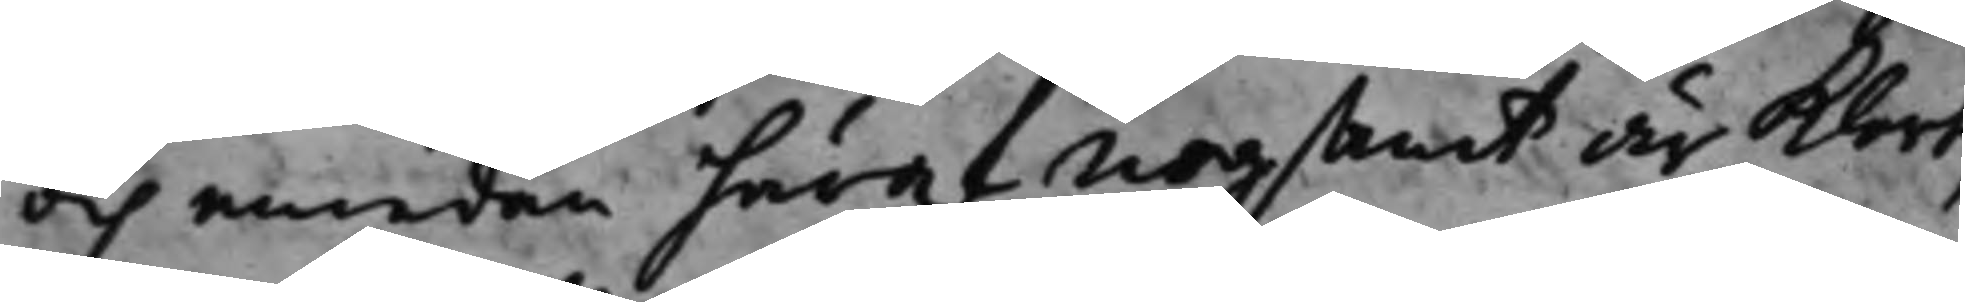och emedan häraf nogsamt är klart,
